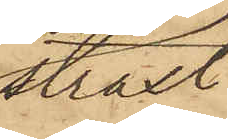straxt
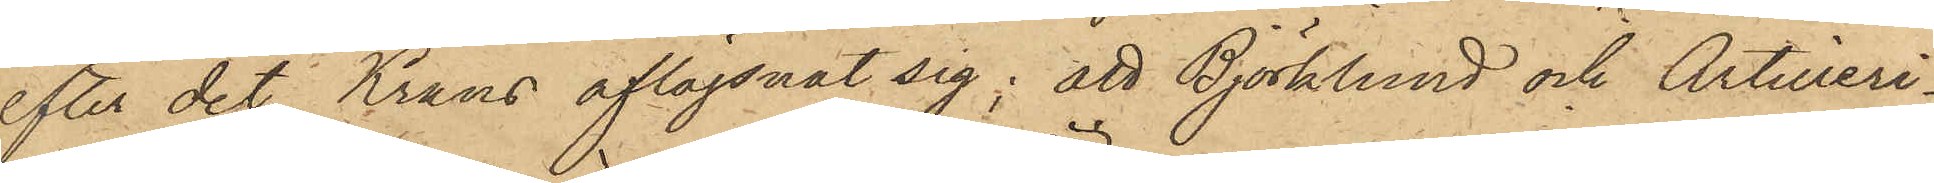efter det Krans aflägsnat sig; att Björklund och Artilleri¬
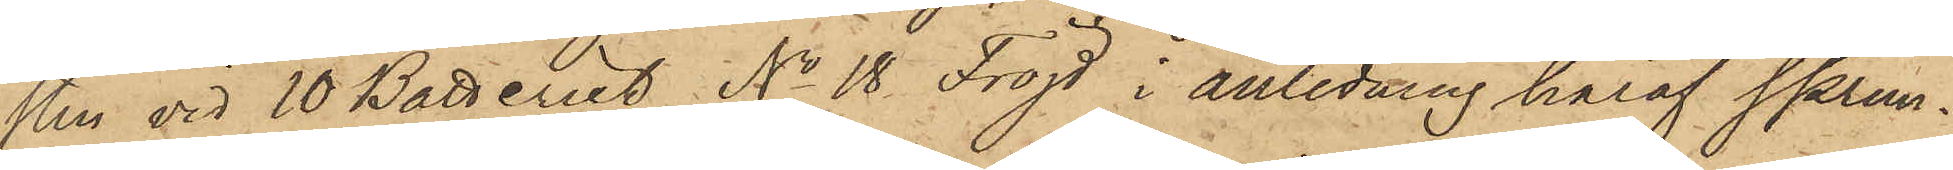sten vid 10 Batteriet No 18 Fröjd i anledning häraf sprun¬
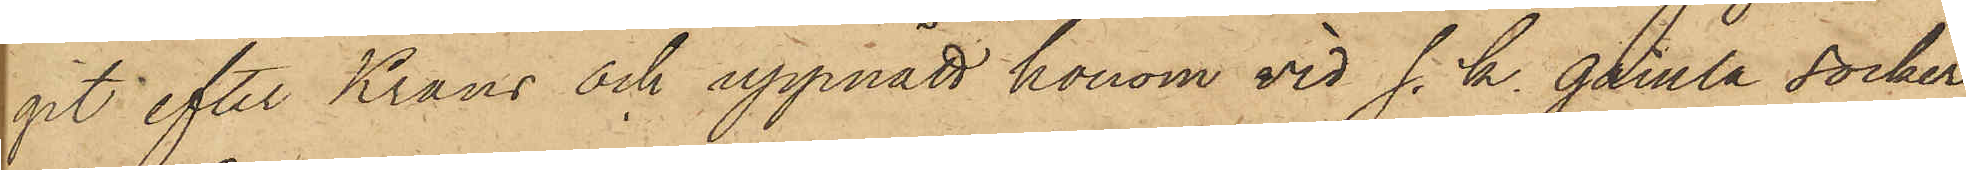git efter Krans och uppnått honom vid s. k. gamla socker¬
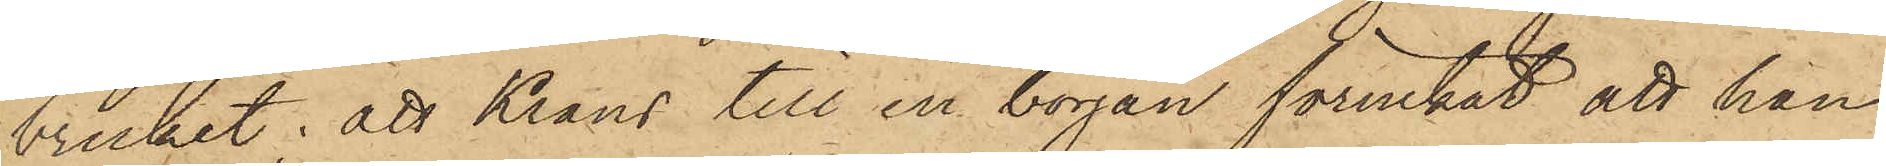brucket; att Krans till en början förnekat att han
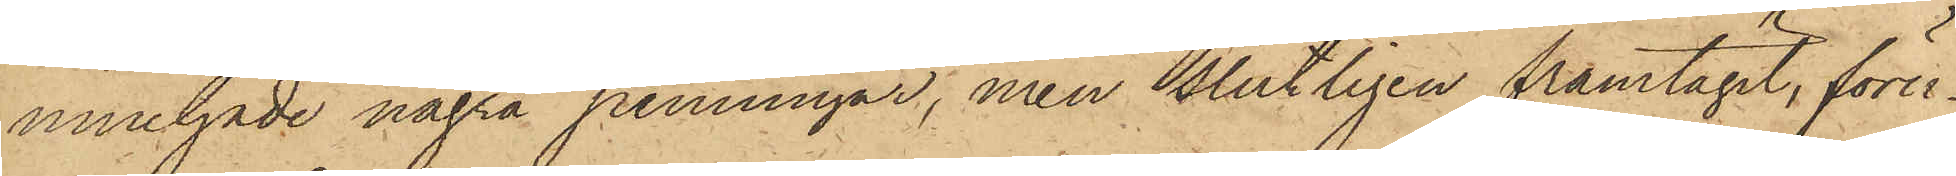innehade några penningar, men slutligen framtagit, föru¬
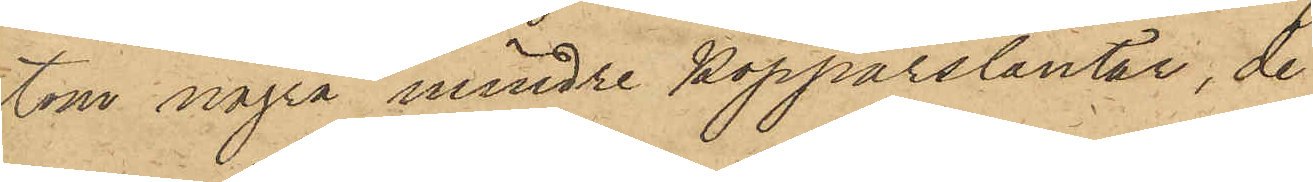tom några mindre kopparslantar, de
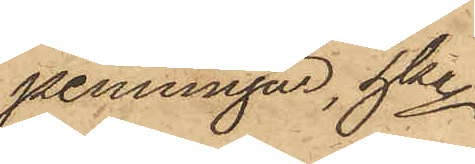penningar, hka
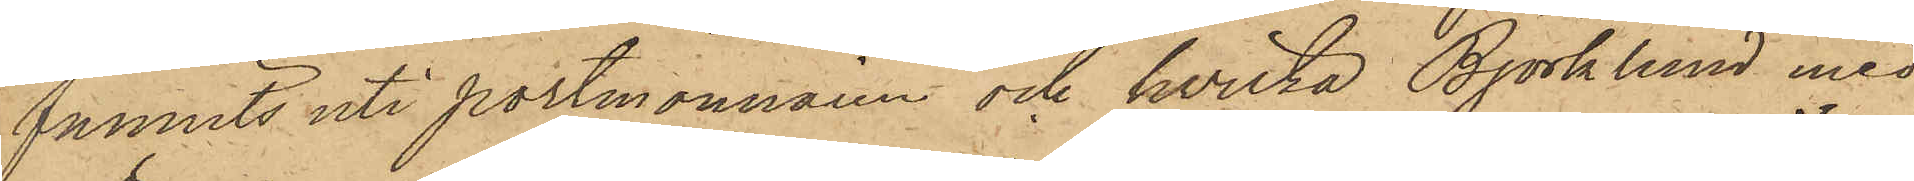funnits uti portmonnaien och hvilka Björklund med
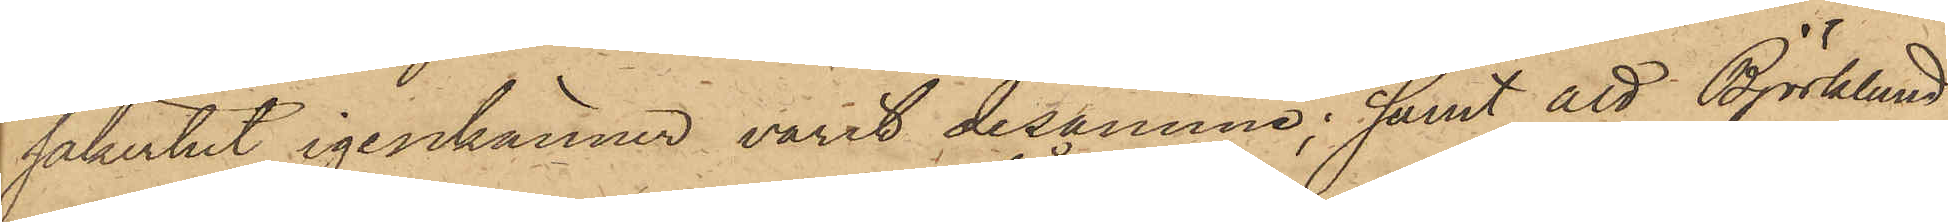säkerhet igenkänner varit desamme; samt att Björklund
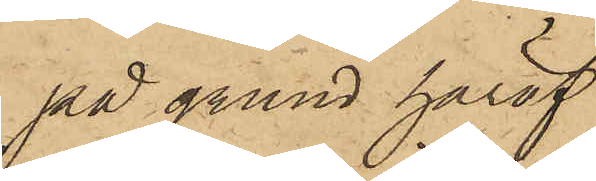på grund häraf
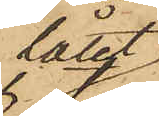låtit
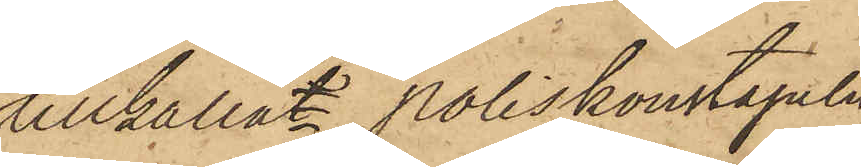tillkallat Poliskonstapeln
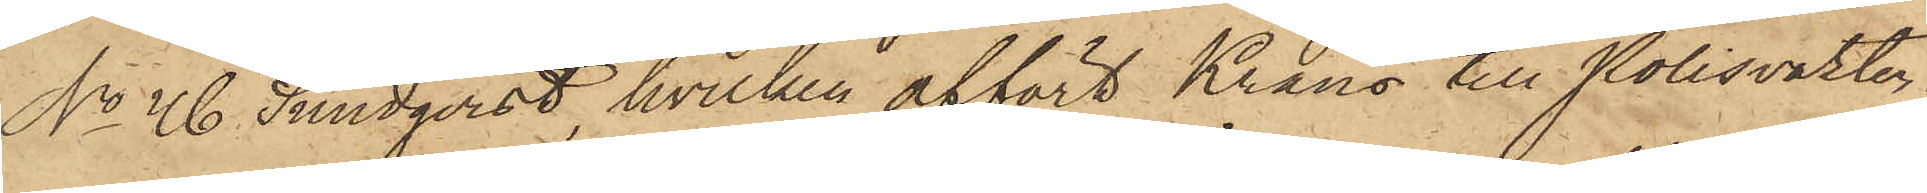No 46 Sundqvist, hvilken affört Krans till Polisvakten.
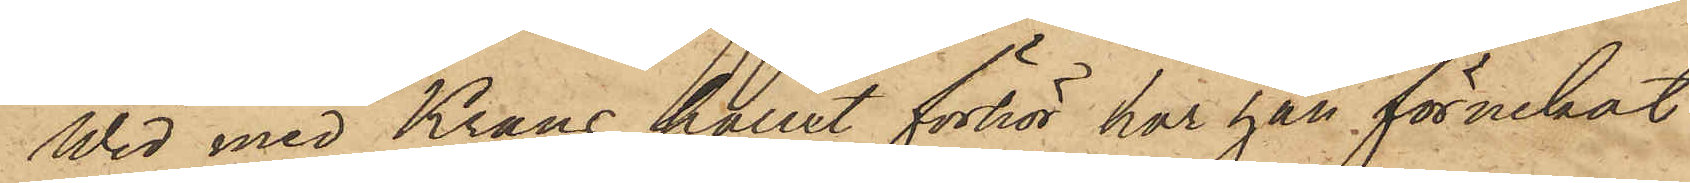Wid med Krans hållit förhör har han förnekat
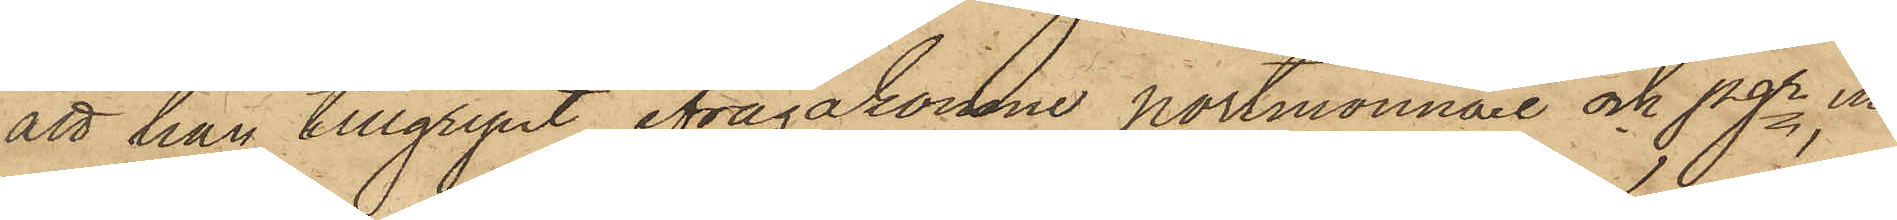att han tillgripit ifrågakomne portmonnaie och pgr, un¬
